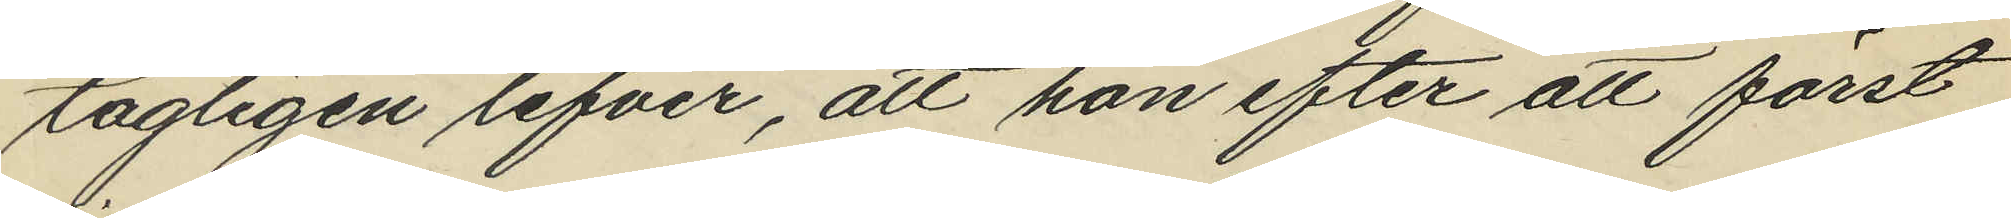tagligen lefver, att han efter att först
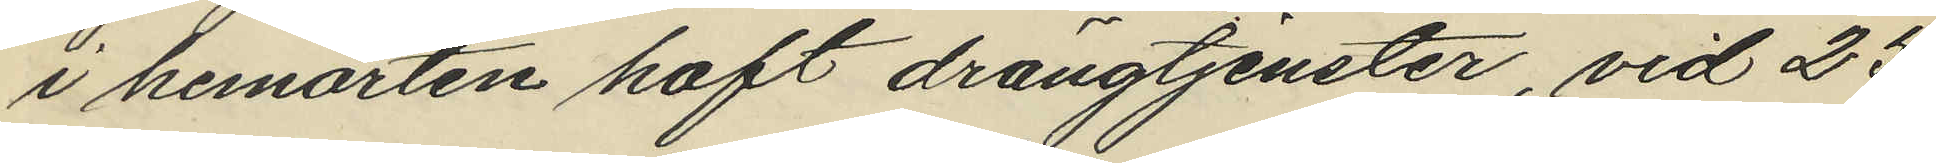i hemorten haft drängtjenster, vid 25
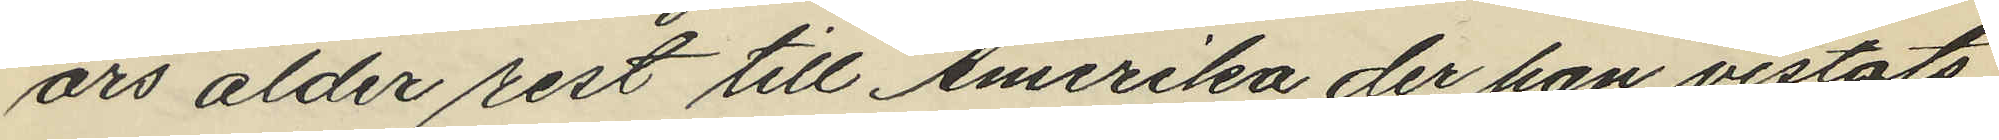års ålder rest till Amerika der han vistats
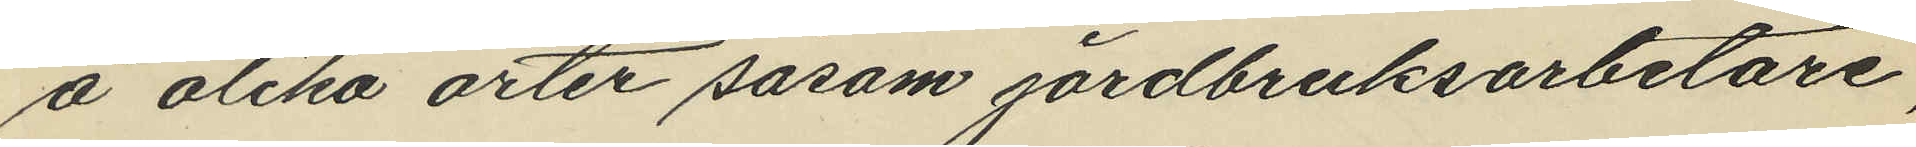å olika orter såsom jordbruksarbetare,
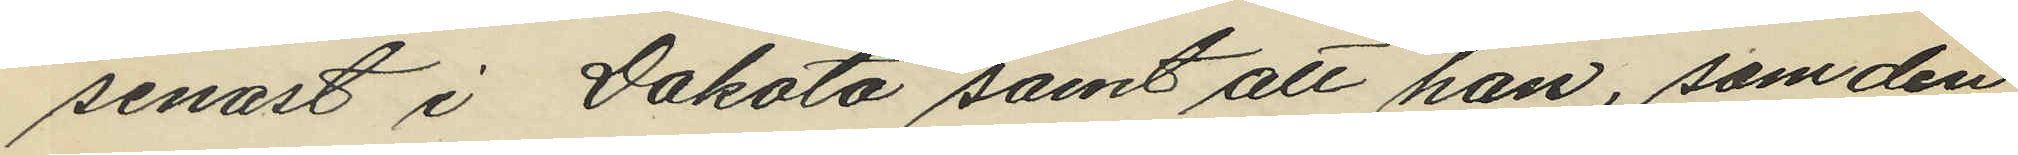senast i Dakota samt att han, som den
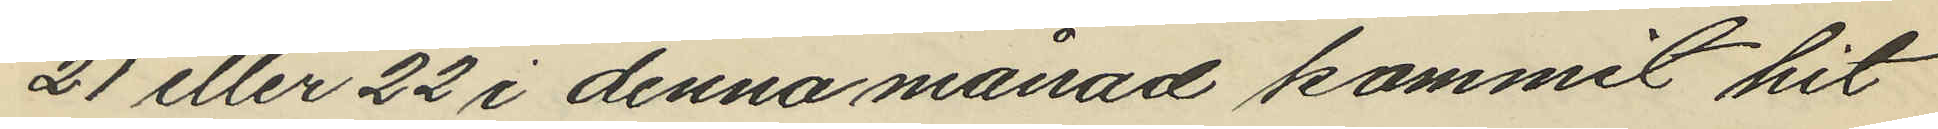21 eller 22 i denna månad kommit hit
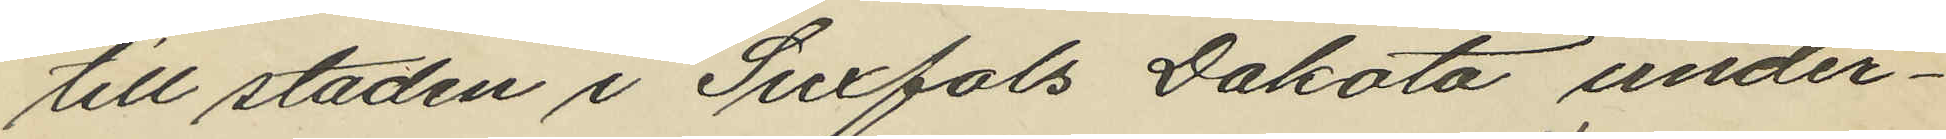till staden i Suxfols Dakota under¬
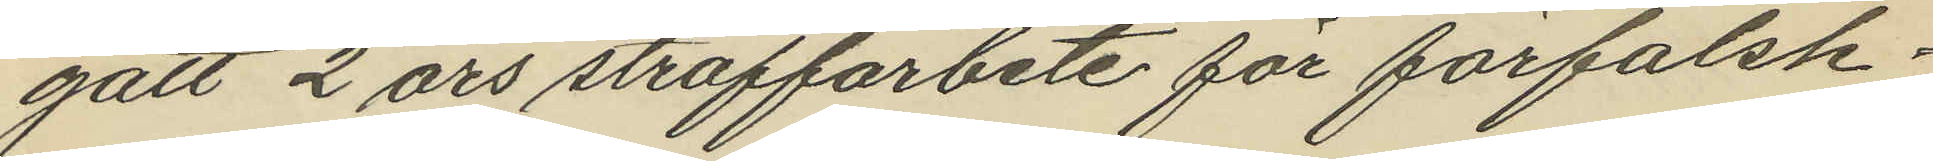gått 2 års straffarbete för förfalsk¬
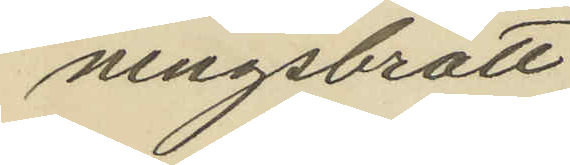ningsbrott.
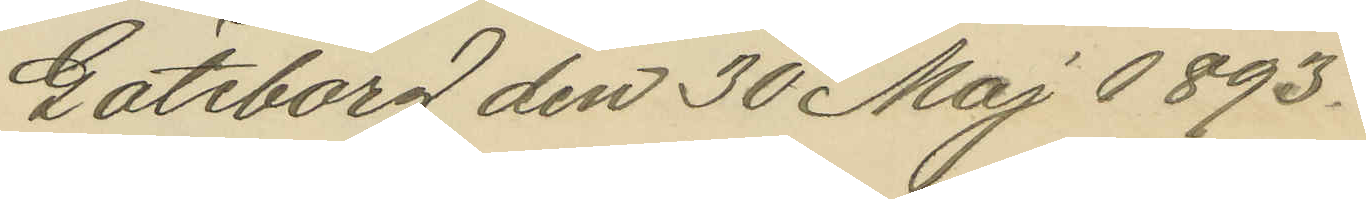Göteborg den 30 Maj 1893.
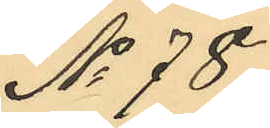No 78.
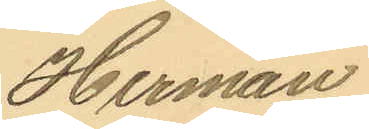Herman
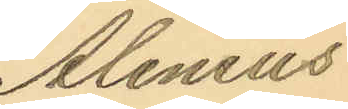Alenius
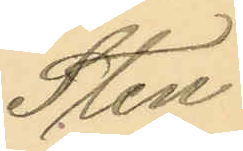Sten
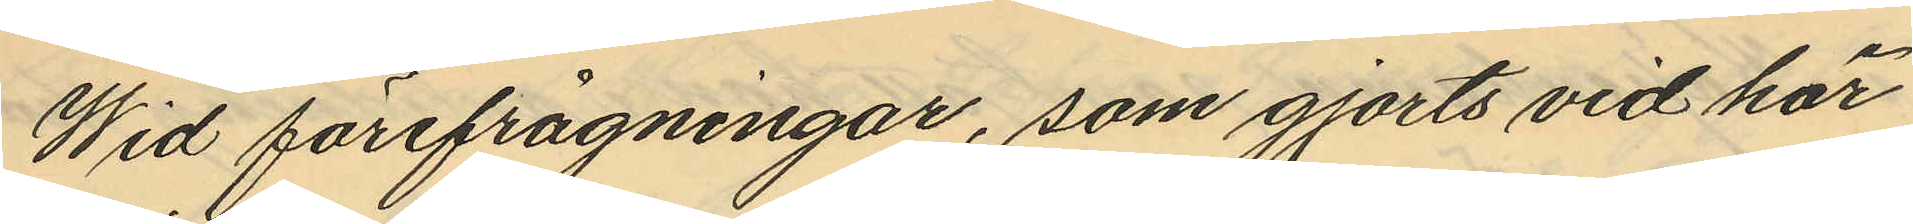Wid förefrågningar, som gjorts vid här
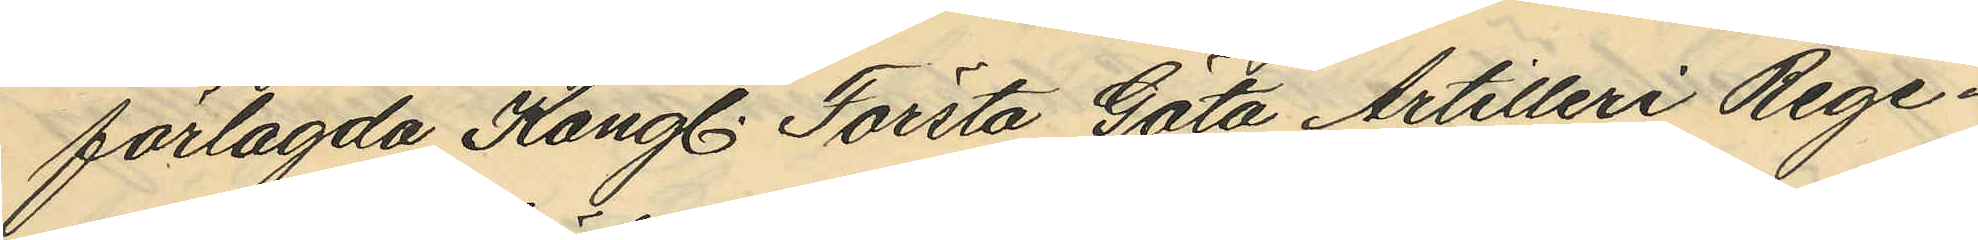förlagda Kongl. Första Göta Artilleri Rege¬
